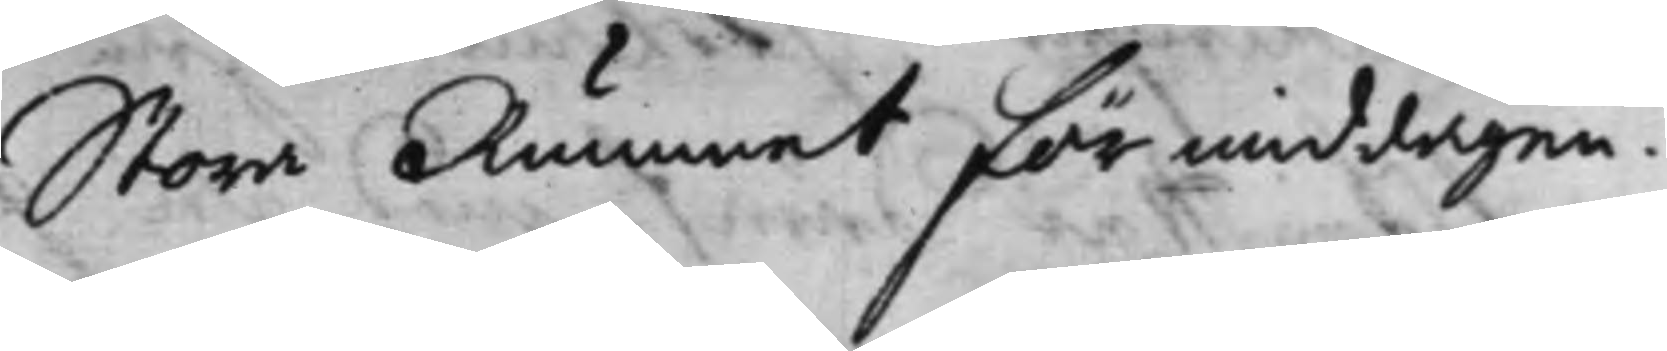Stora Rummet förmiddagen.
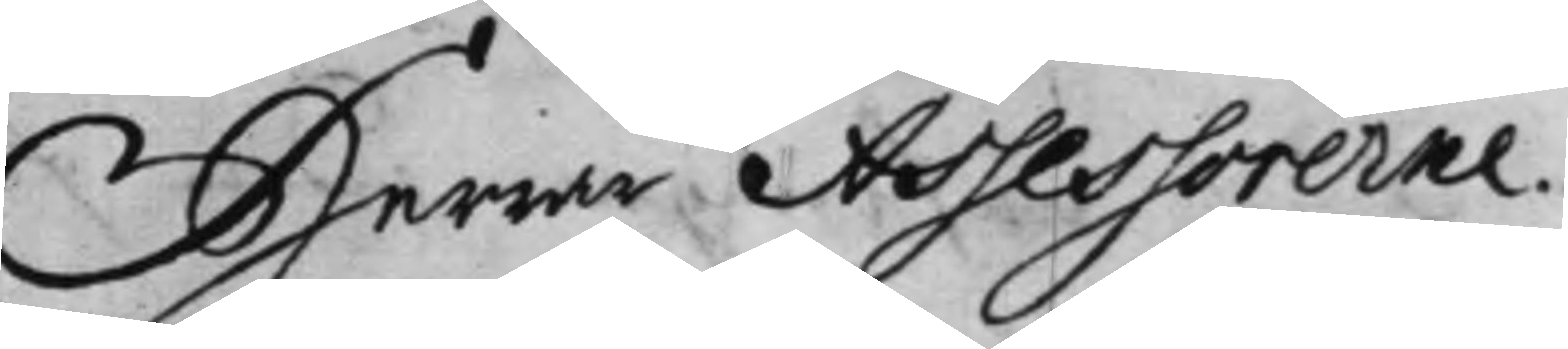Herrar Assessorerne.
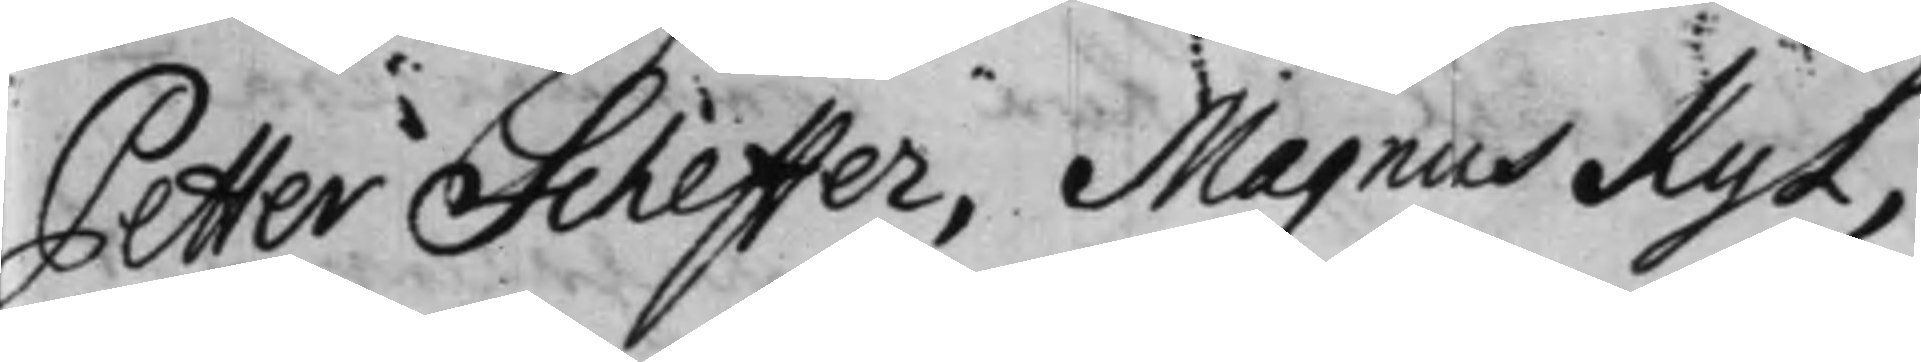Petter Scheffeer, Magnus Kyl,
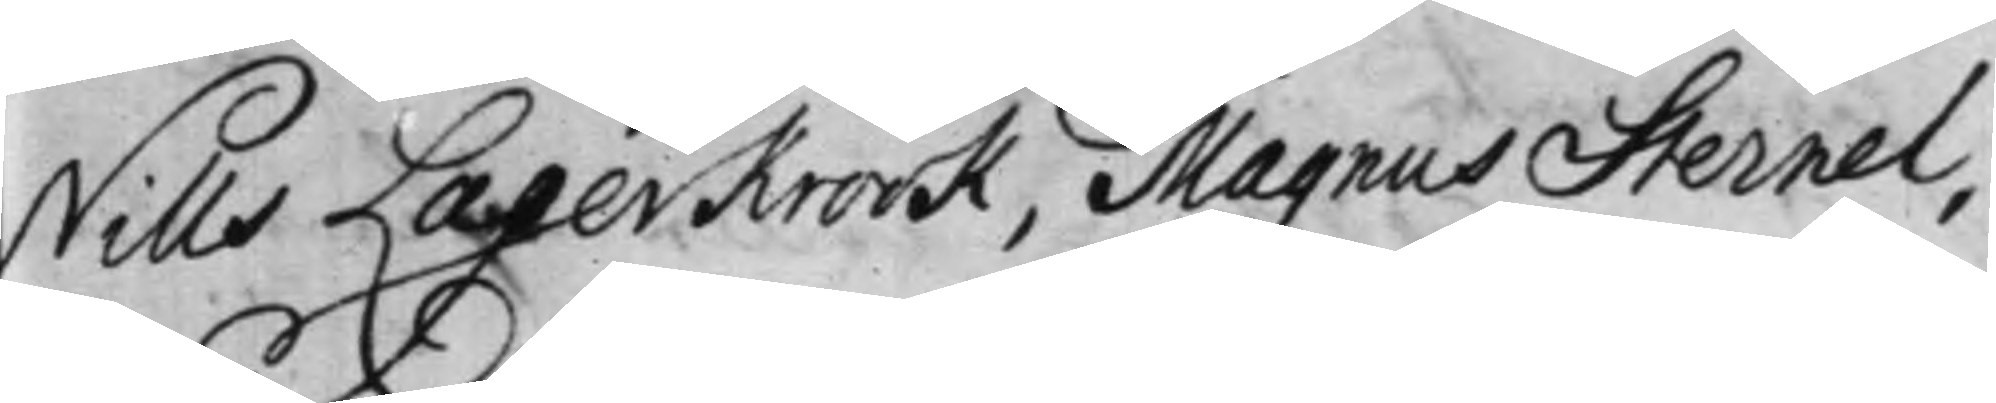Nils Lagerkrook, Magnus Sternel,
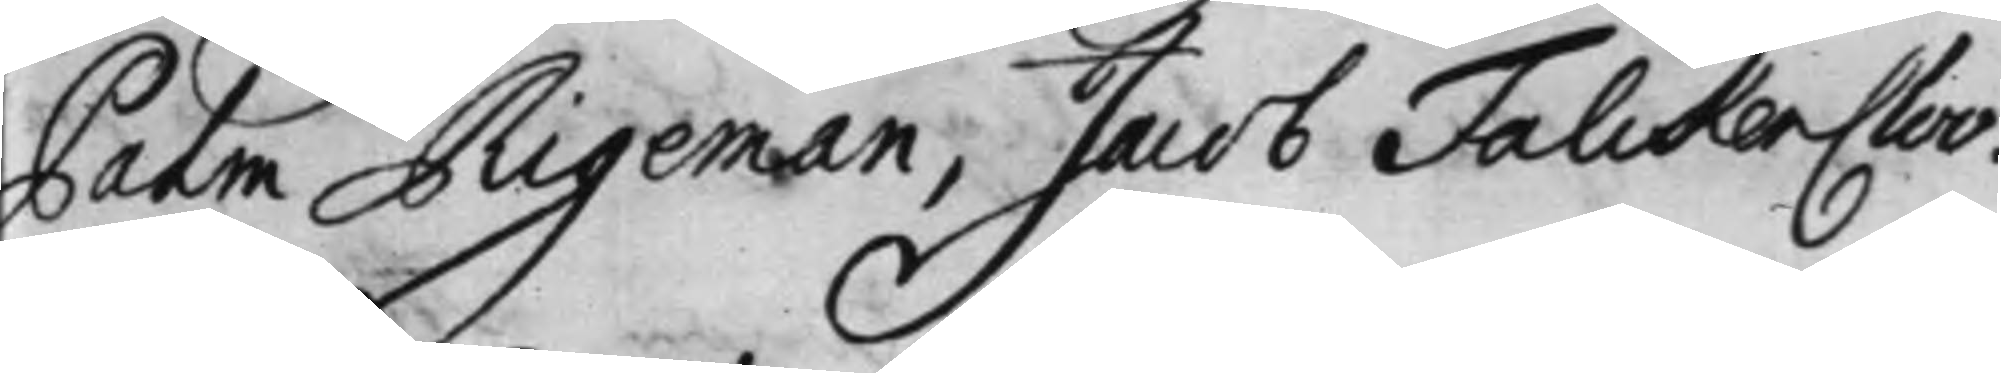Palm Rigeman, Jacob FalckenCloo.
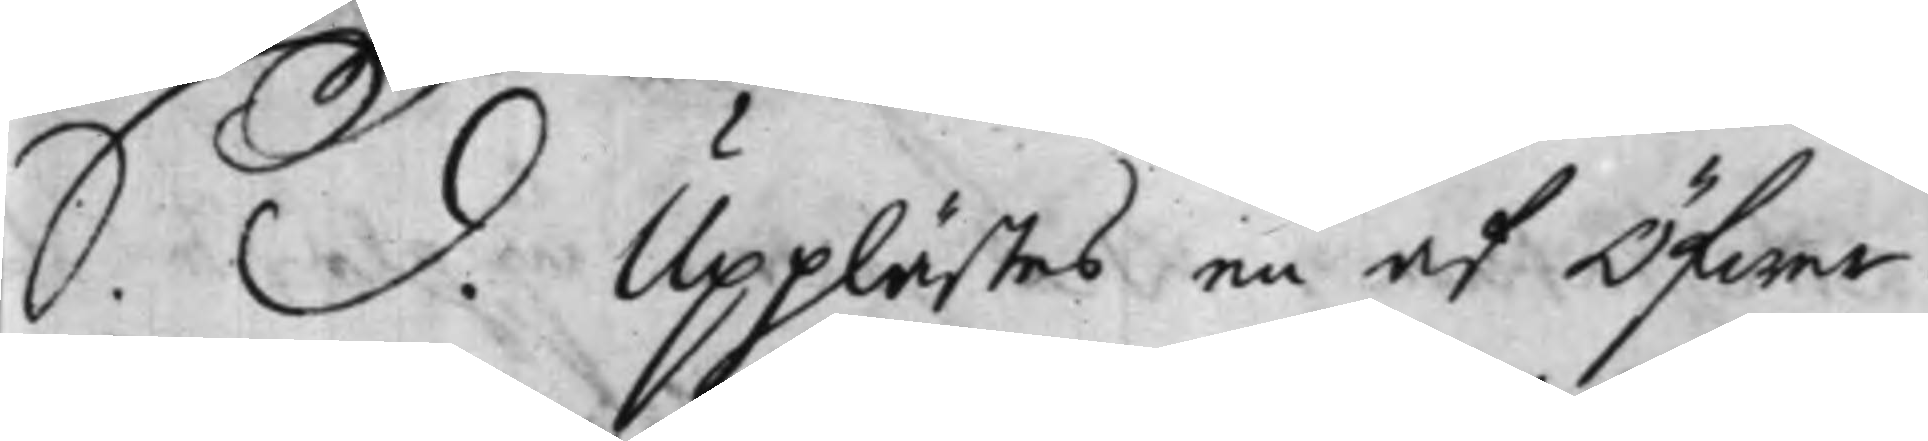S. d. Upplästes en af Öfwer¬
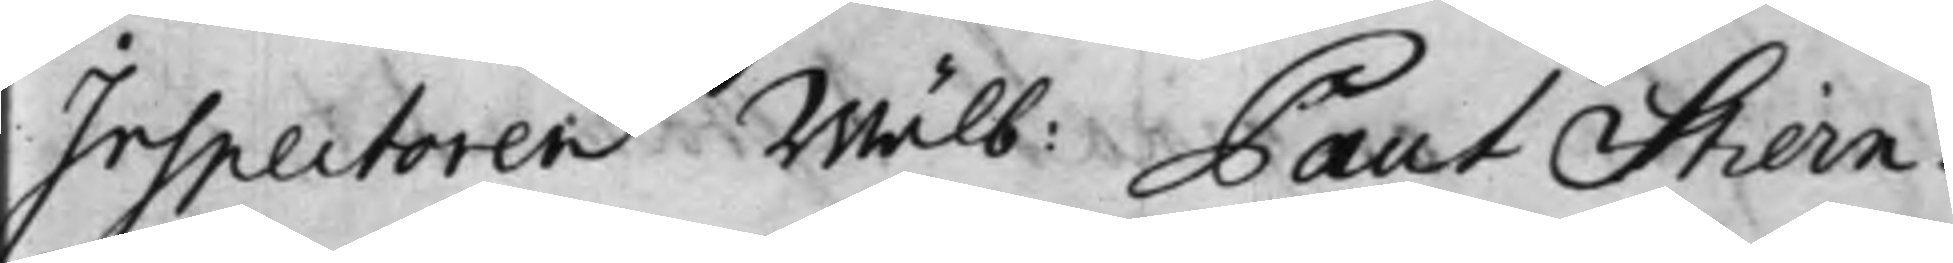Inspectoren Wälb: Paul Stiern¬
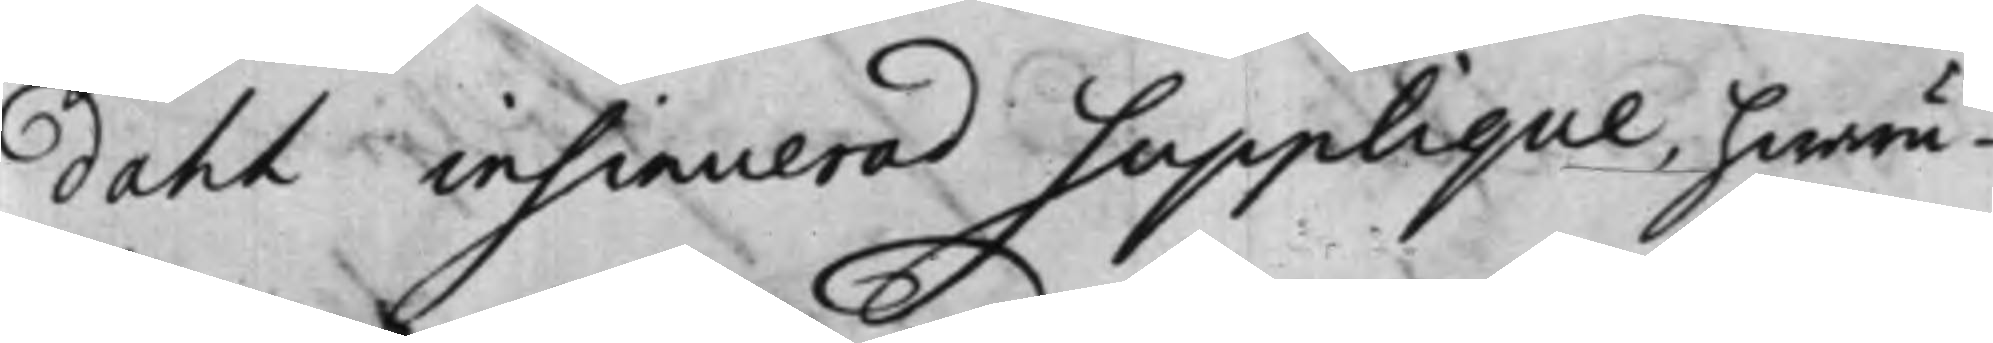dahl insinuerad Supplique, hwaru¬
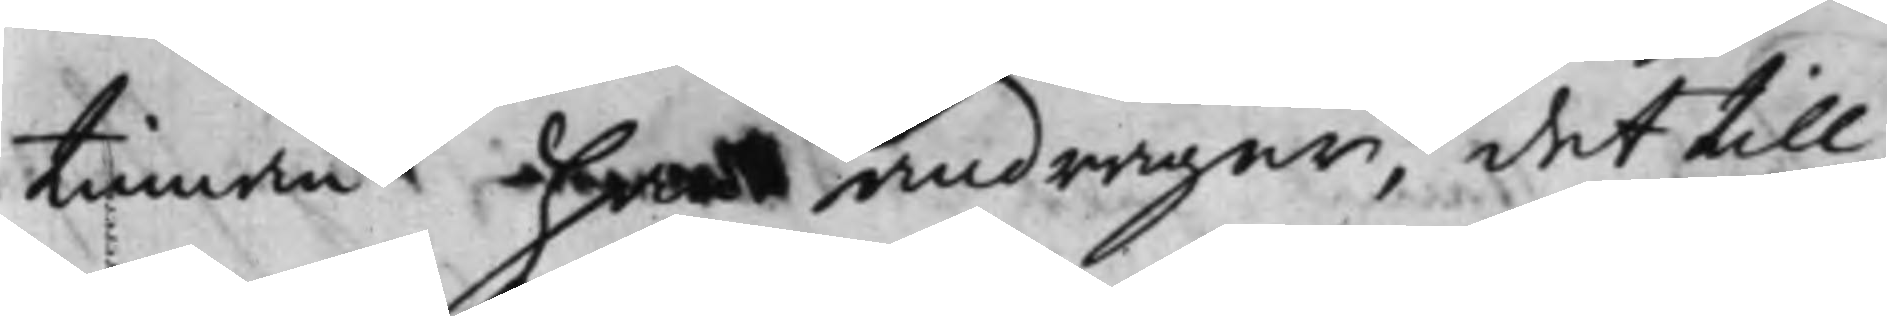tinnan han andrager, det till
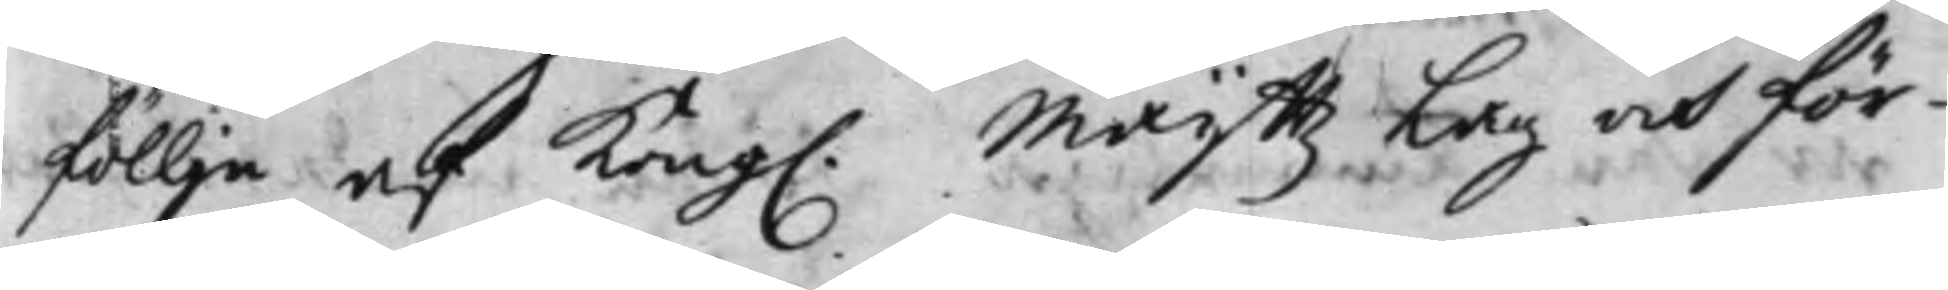föllje af Kong. Maij.ttz Lag och för¬
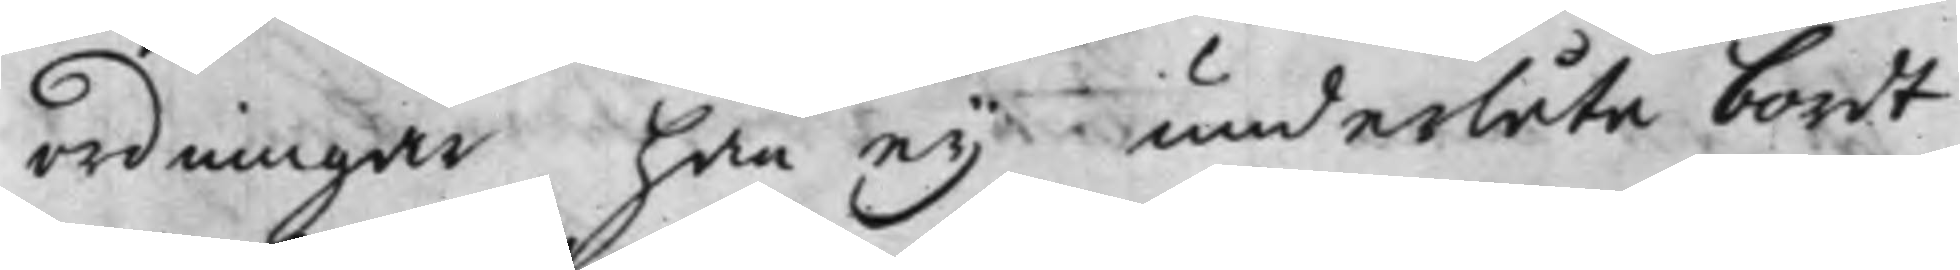ordningar han ey underlåta bordt
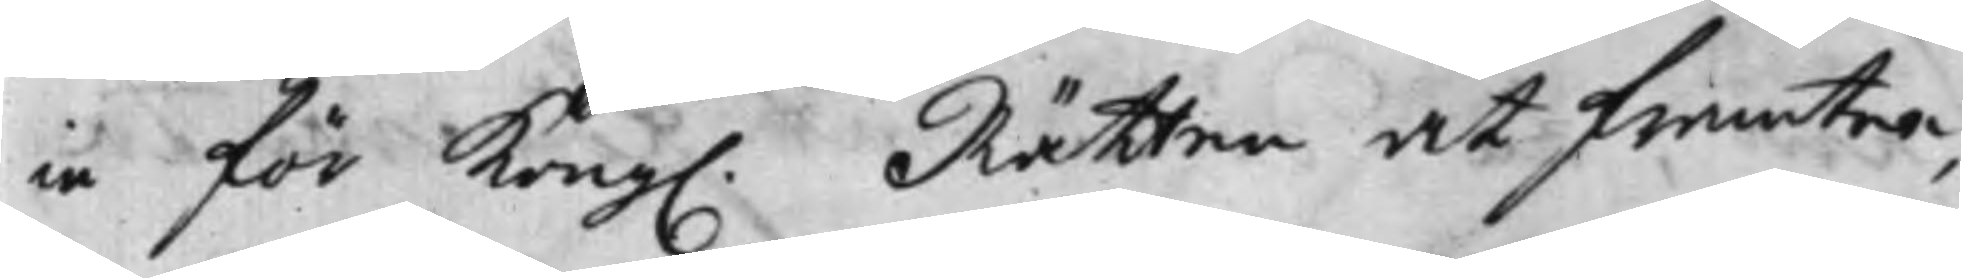in för Kong. Rätten at framtee,
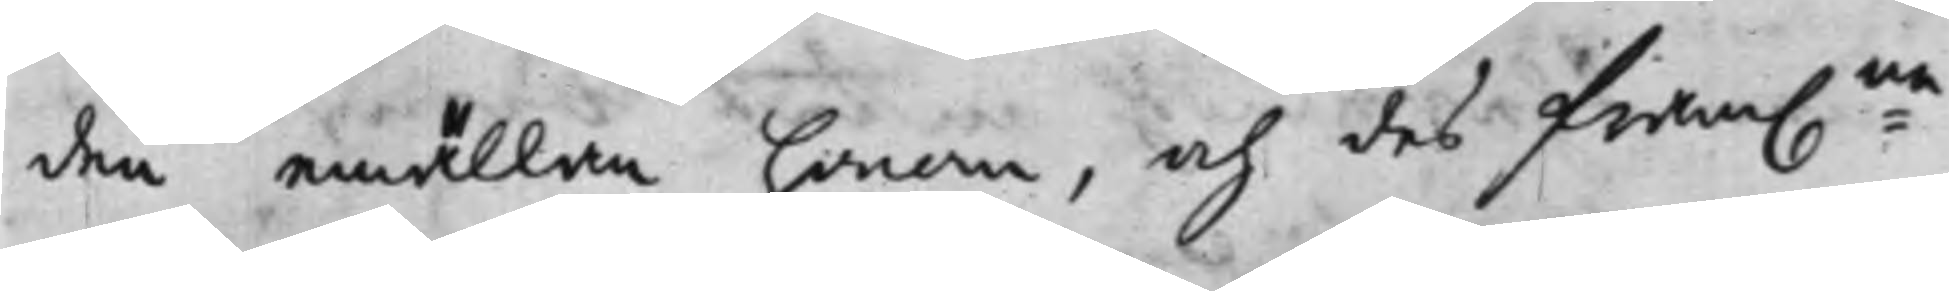den emällan honom, och des fram:na
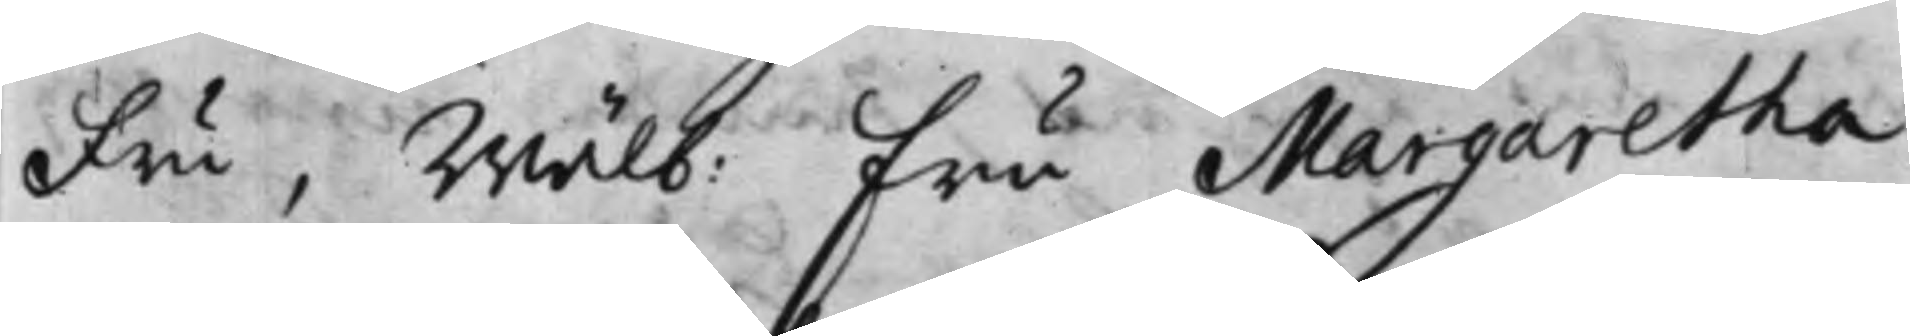Fru, Wälb: Fru Margaretha
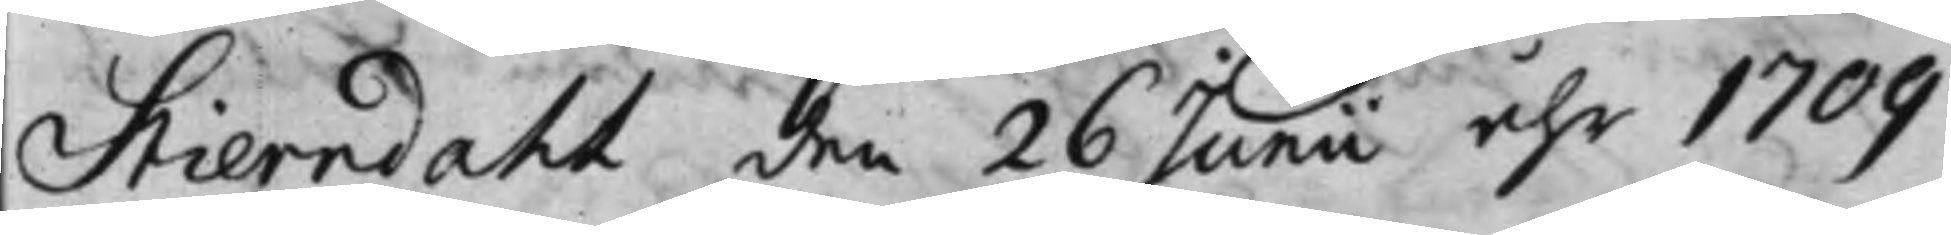Stierndahl den 26 Junii åhr 1709
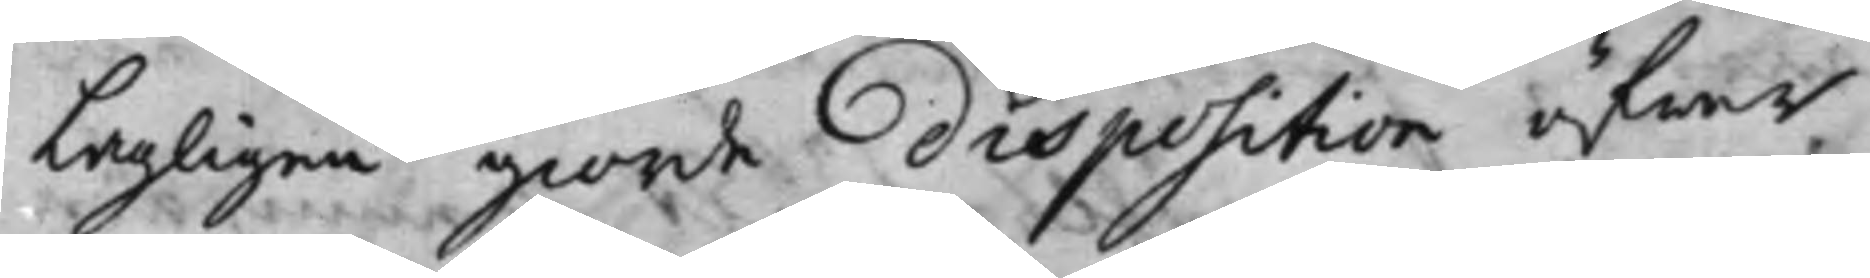Lagligen giorde Disposition öfwer
